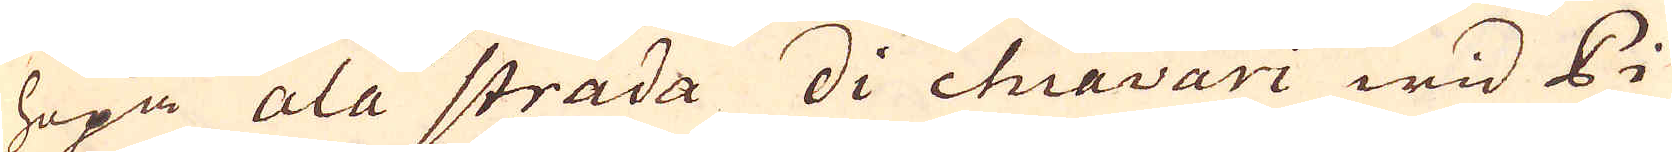hopa ala strada di chiavari wid Pi-
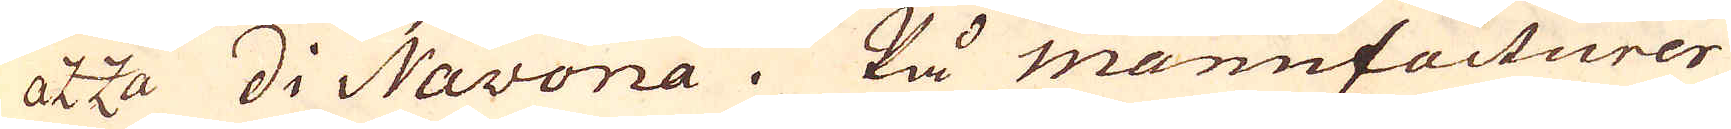azza di Navona. På manufacturer
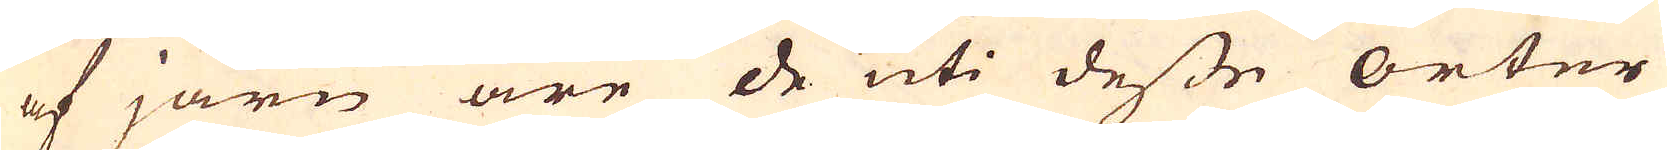af järn äre de uti desse orter
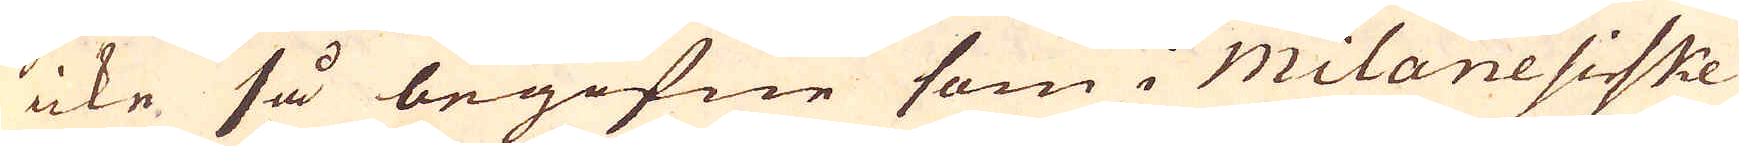icke så begifne som i Milanesiske
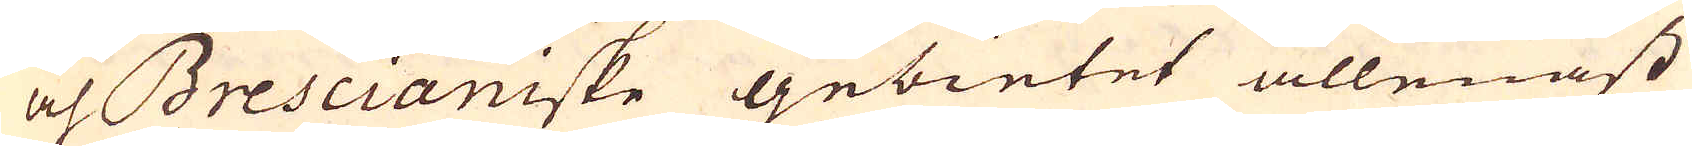och Brescianiske gebietet allenast
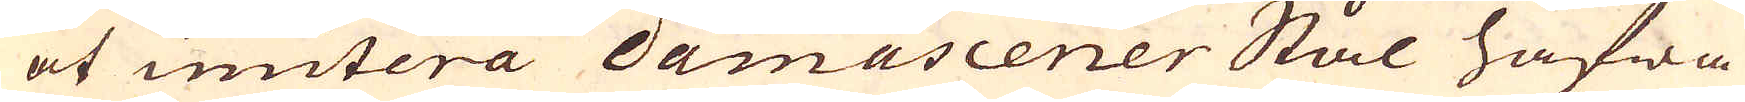at imitera Damascener Stål hafwa
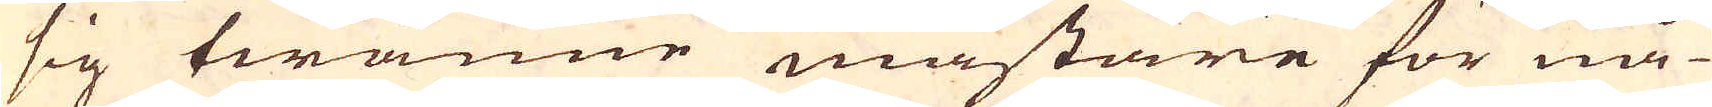sig twänne mästare för nå-
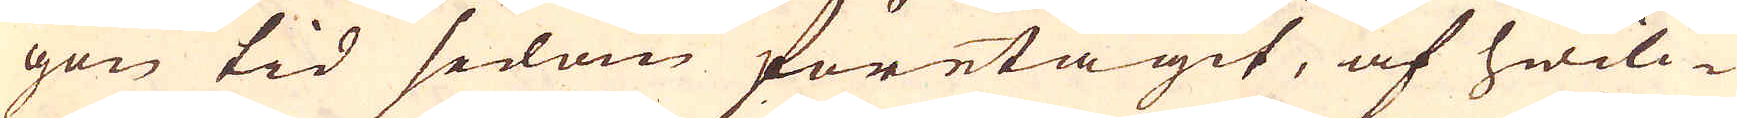gon tid sedan företagit, af hwilc-
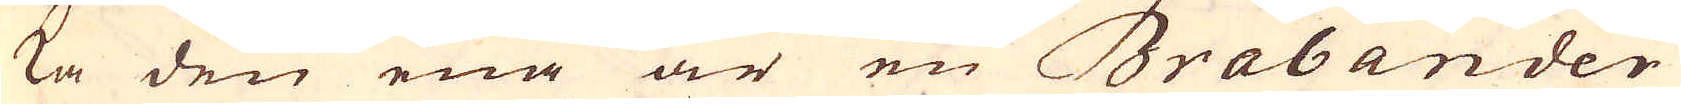ka den ena är en Brabander
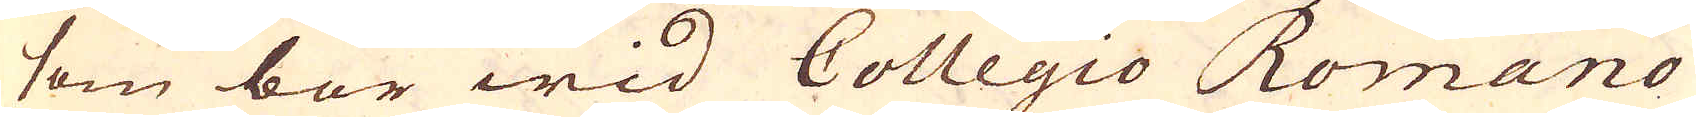som bor wid Collegio Romano
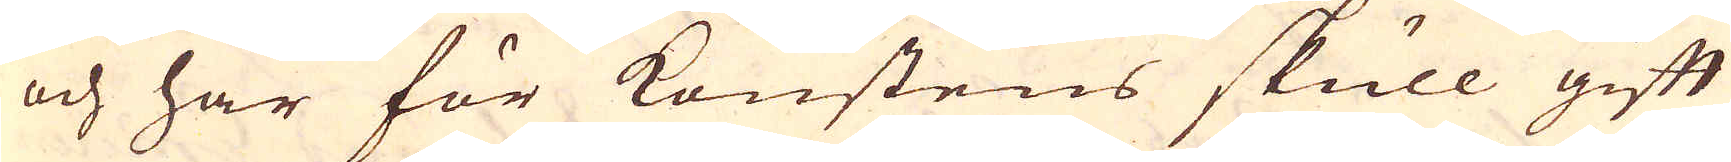och här för konstens skull gift
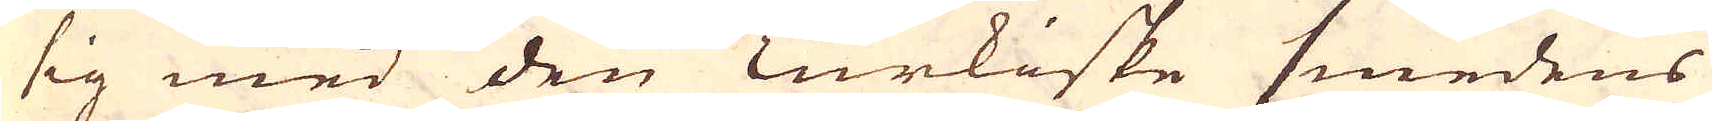sig med den Turkiske smedens
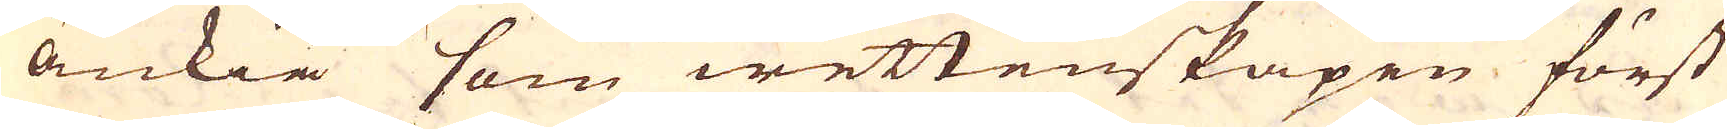änkia som wettenskapen först
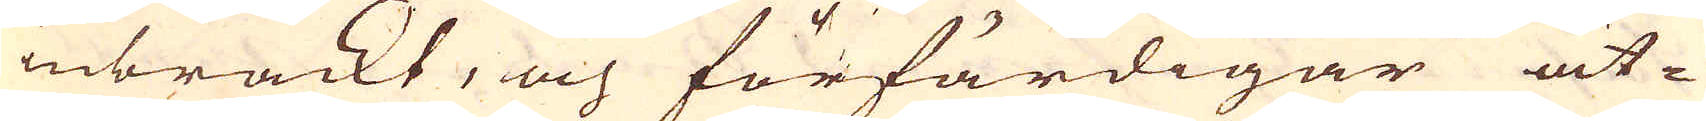inbrackt, och förfärdigar åt-
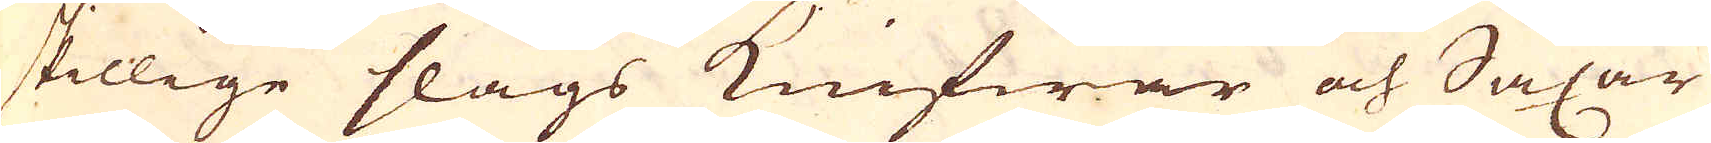skillige slags knifwar och Saxar
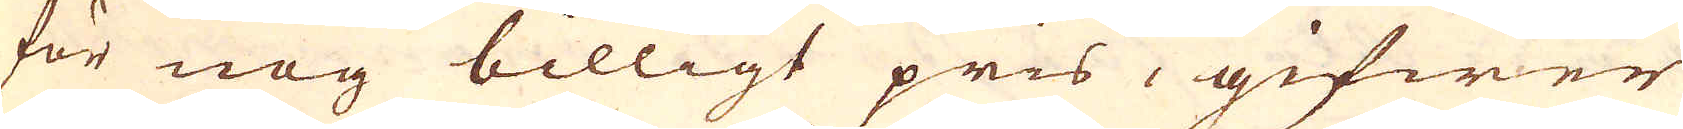för nog billigt pris, gifwer
